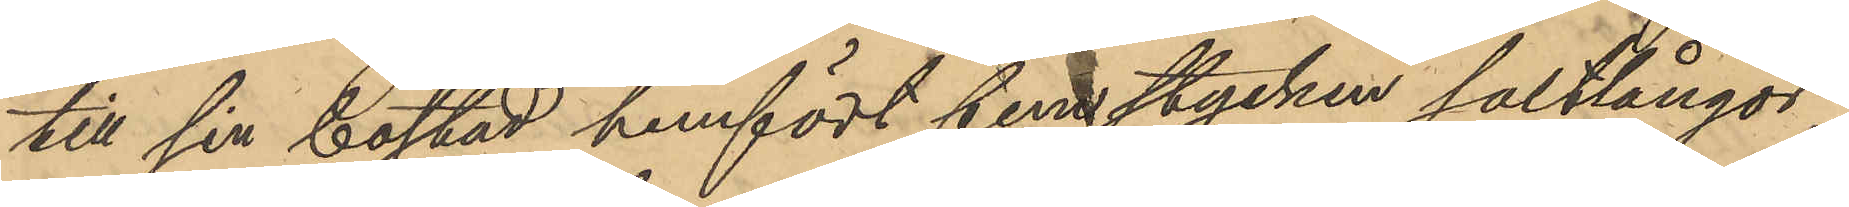till sin bostad hemfört fem stycken saltlångor,
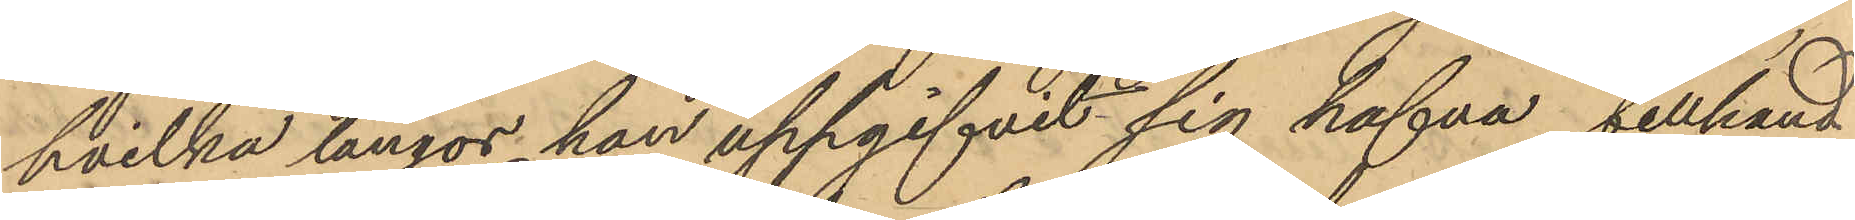hvilka långor han uppgifvit sig hafva tillhand¬
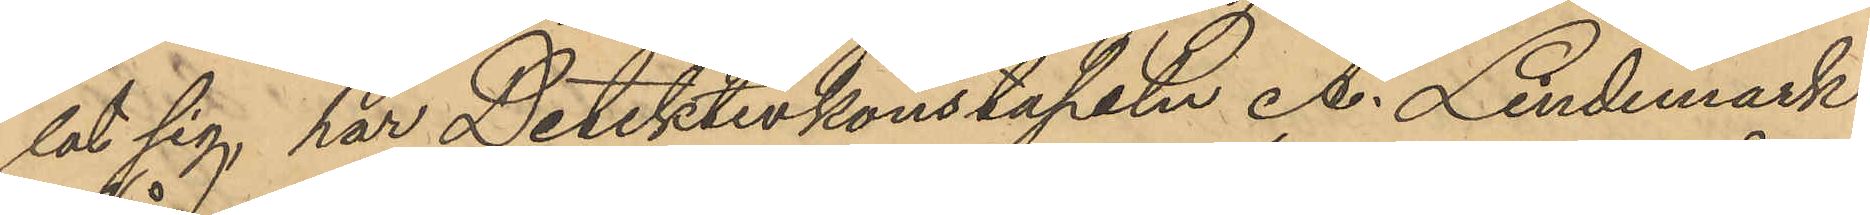lat sig, har Detektivkonstapeln A. Lindemark
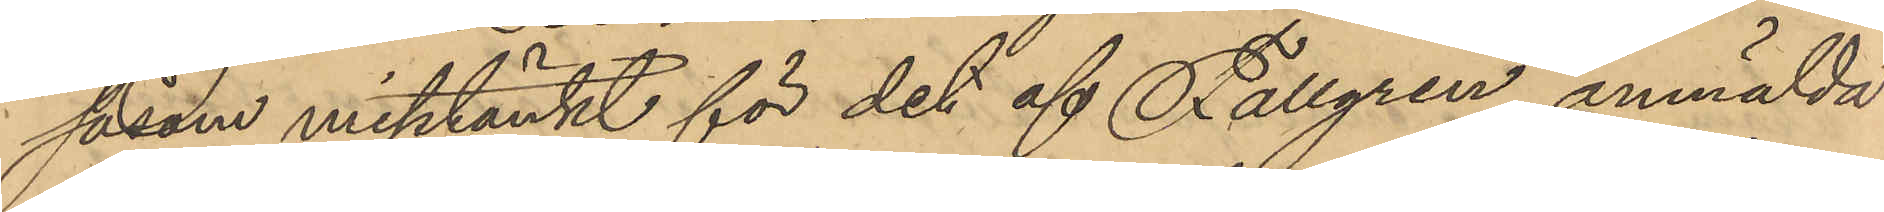såsom misstänkt för det af Fallgren anmälda
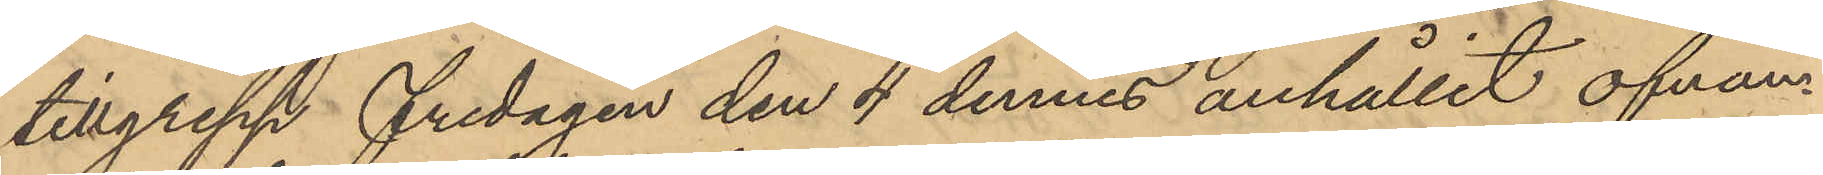tillgrepp fredagen den 4 dennes anhållit ofvan¬
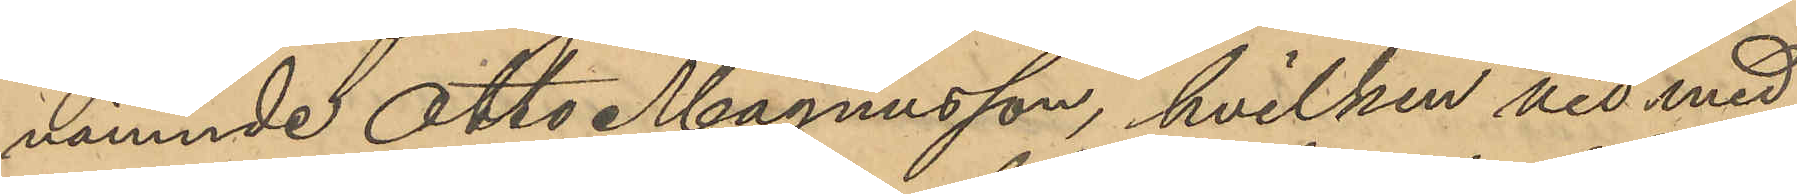nämnde Otto Magnusson, hvilken vid med
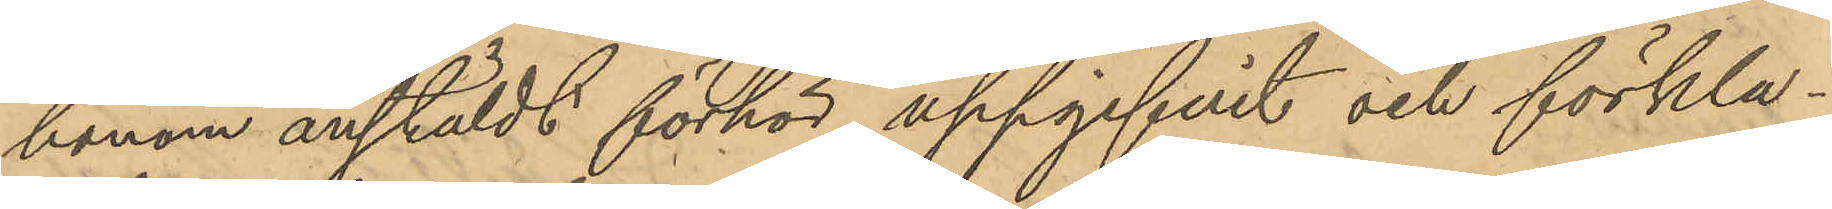honom anstäldt förhör uppgifvit och förkla¬
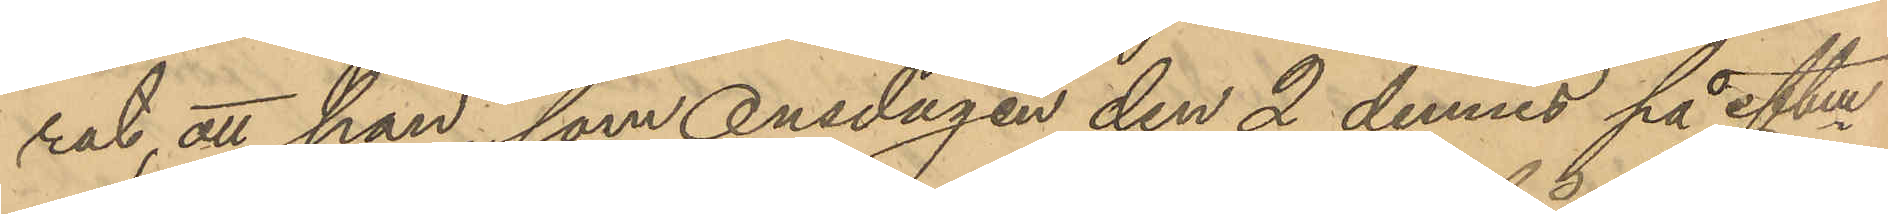rat, att han, som Onsdagen den 2 dennes på eftm
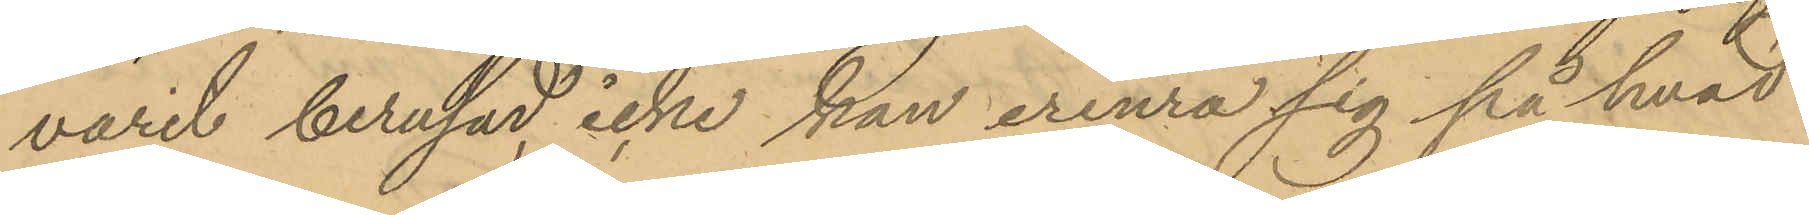varit berusad, icke kan erinra sig på hvad
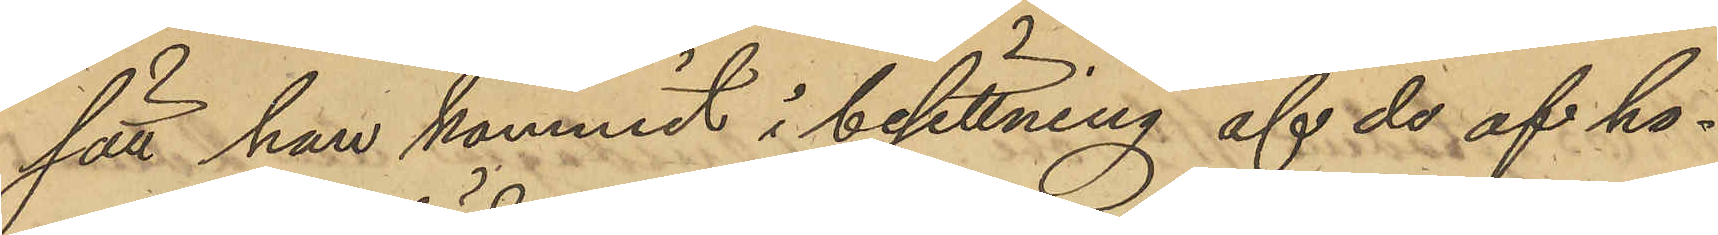sätt han kommit i besittning af de af ho¬
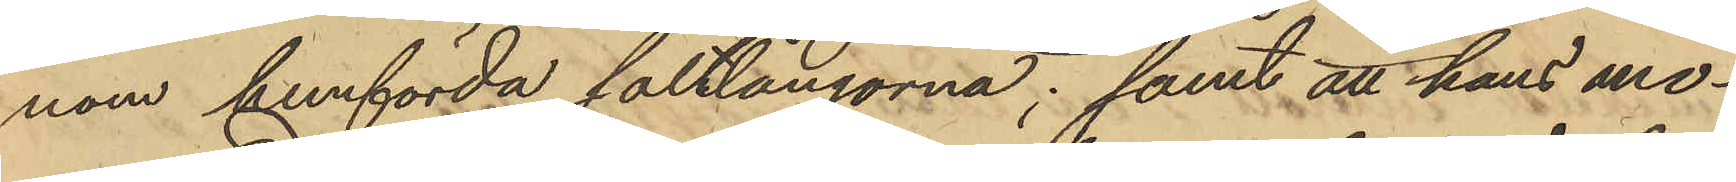nom hemförda saltlångorna; samt att hans mo¬
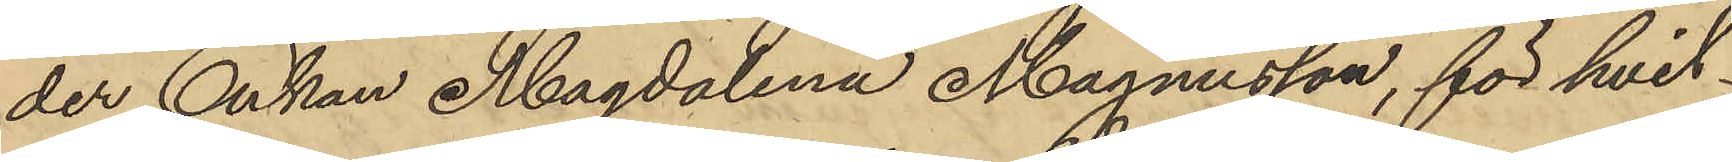der Enkan Magdalena Magnusson, för hvil¬
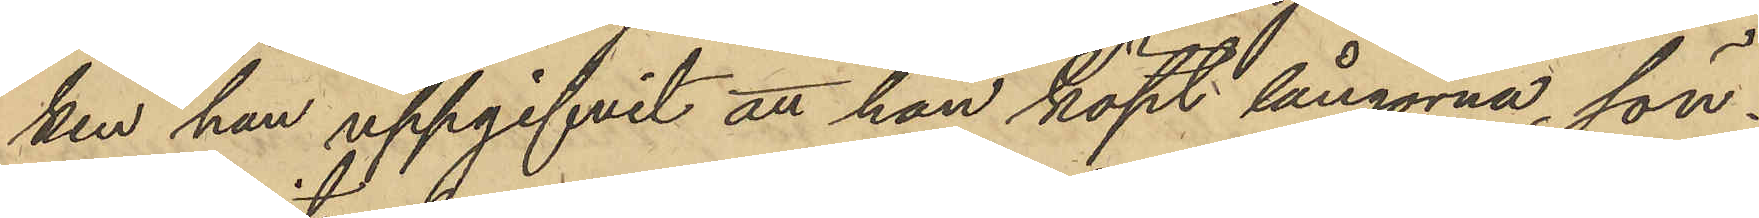ken han uppgifvit att han köpt långorna, sön¬
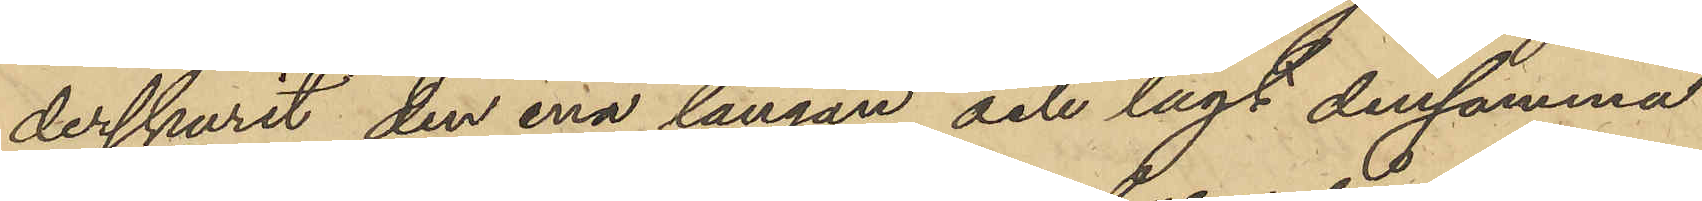derskurit den ena långan och lagt densamma
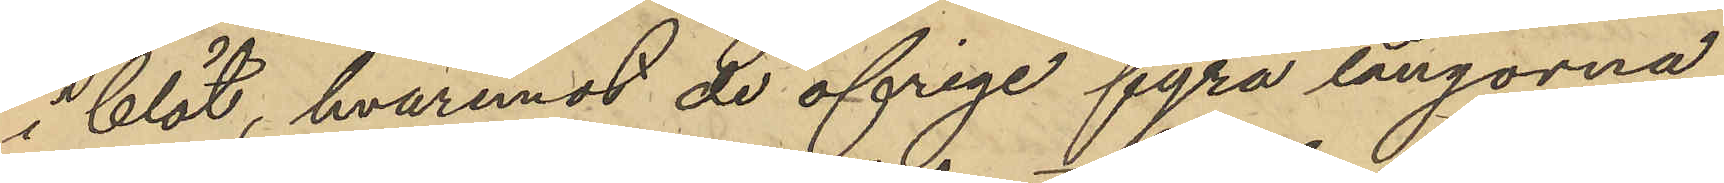i blöt, hvaremot de öfriga fyra långorna
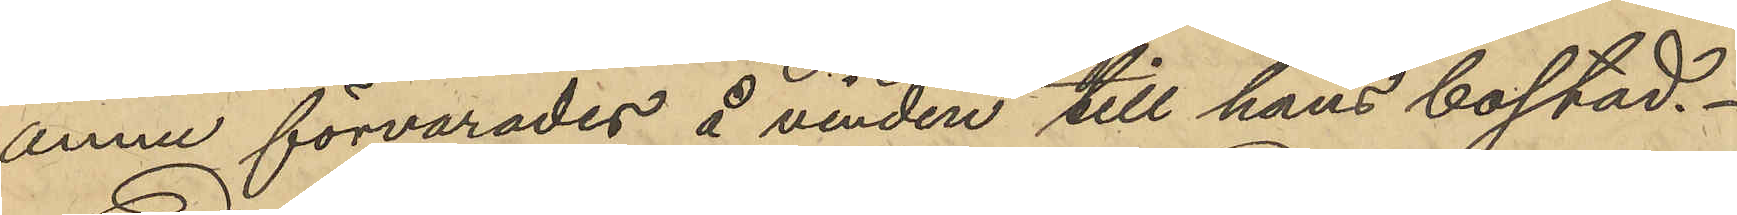ännu förvarades å vinden till hans bostad.
